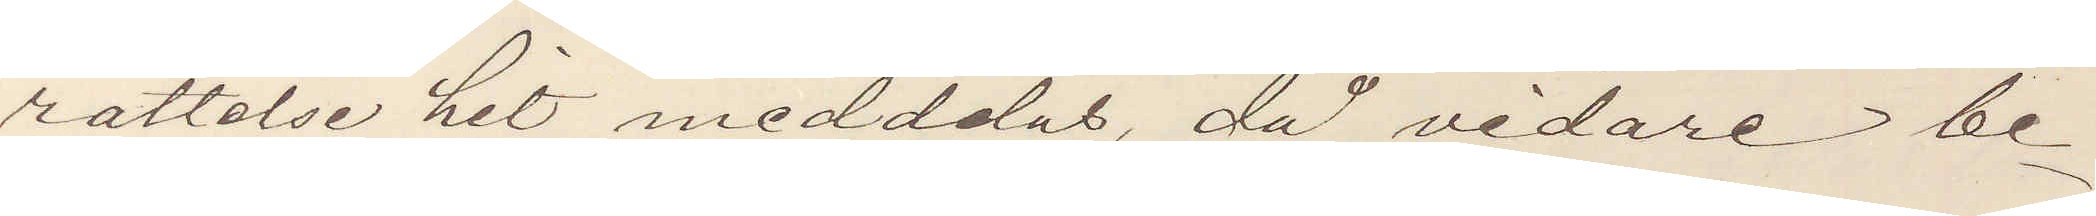rättelse hit meddelas, då vidare be¬
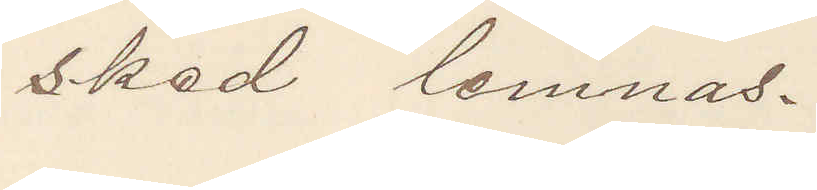sked lemnas.
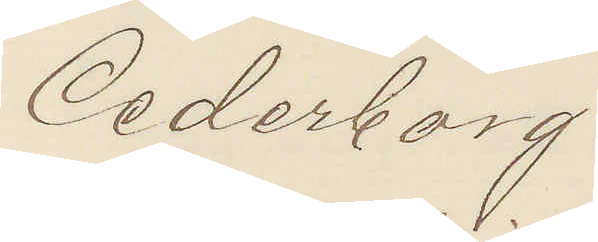Cederborg.
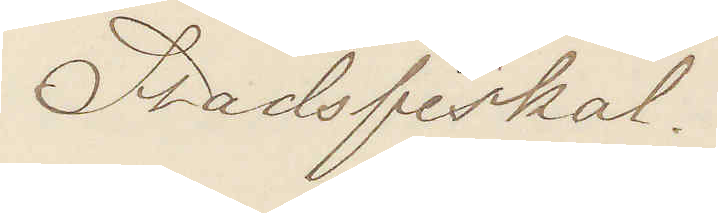Stadsfiskal.
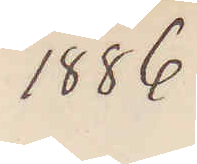1886
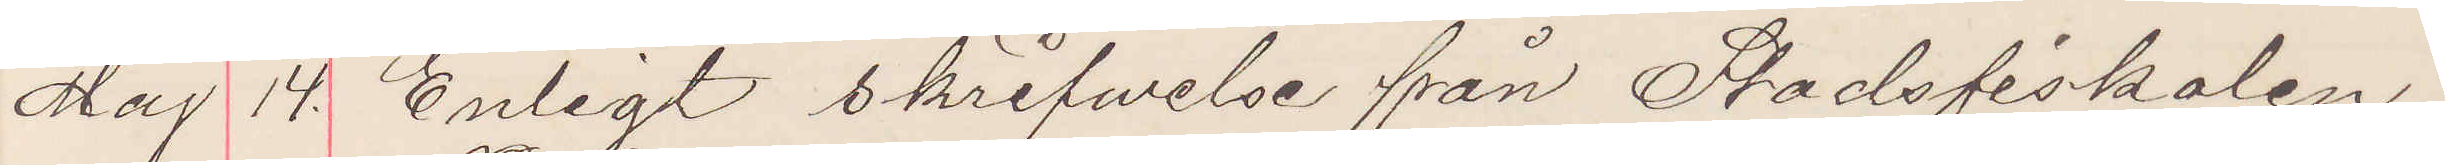Maj 14 Enligt skrifwelse från Stadsfiskalen
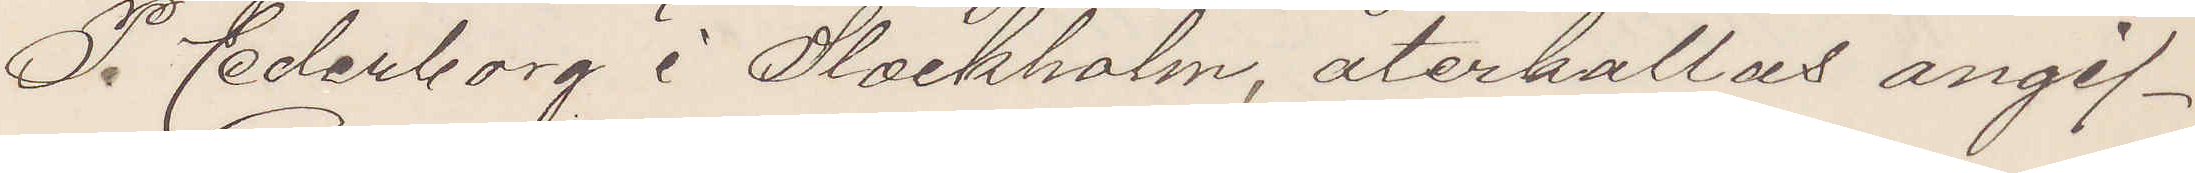P. Cederborg i Slockholm, återkallas angif¬
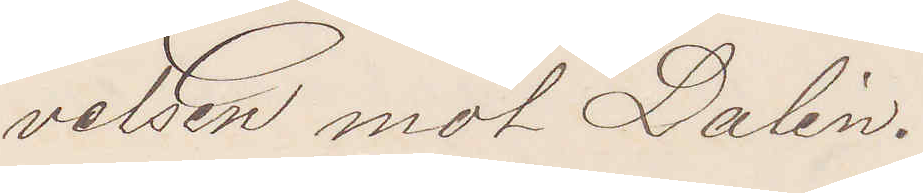velsen mot Dalén.
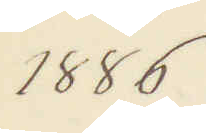1886
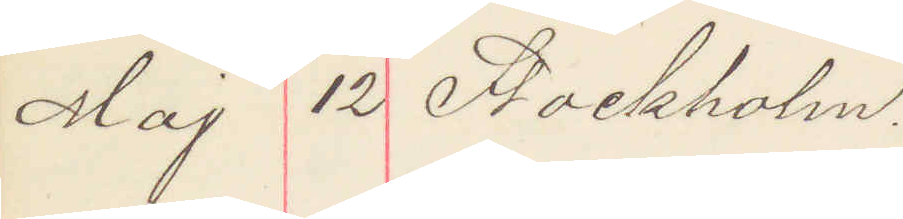Maj 12 Sockholm.
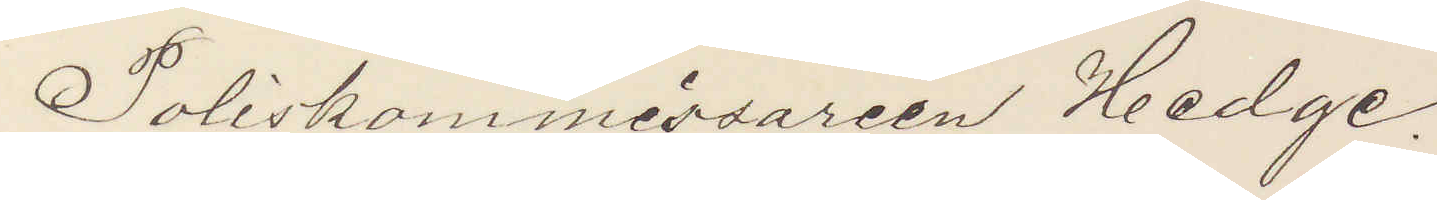Poliskommissarien Hedge.
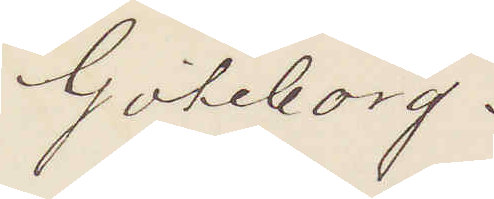Göteborg.
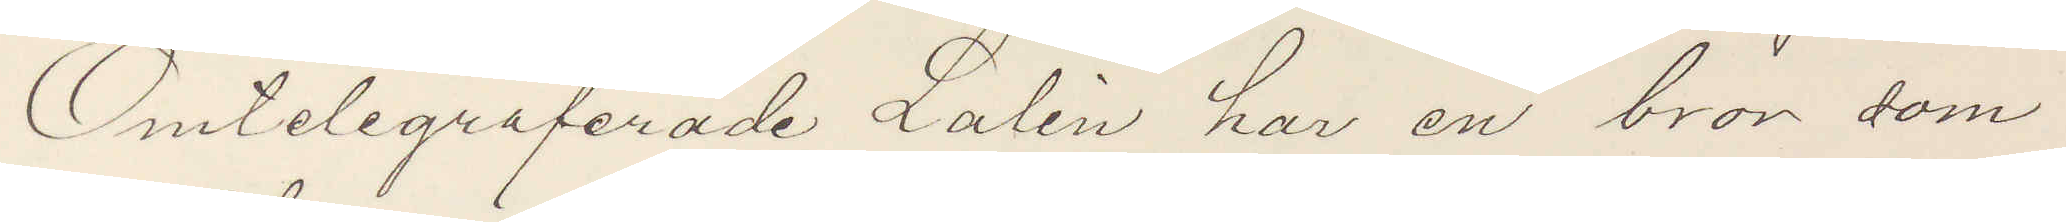Omtelegraferade Lalén har en bror som
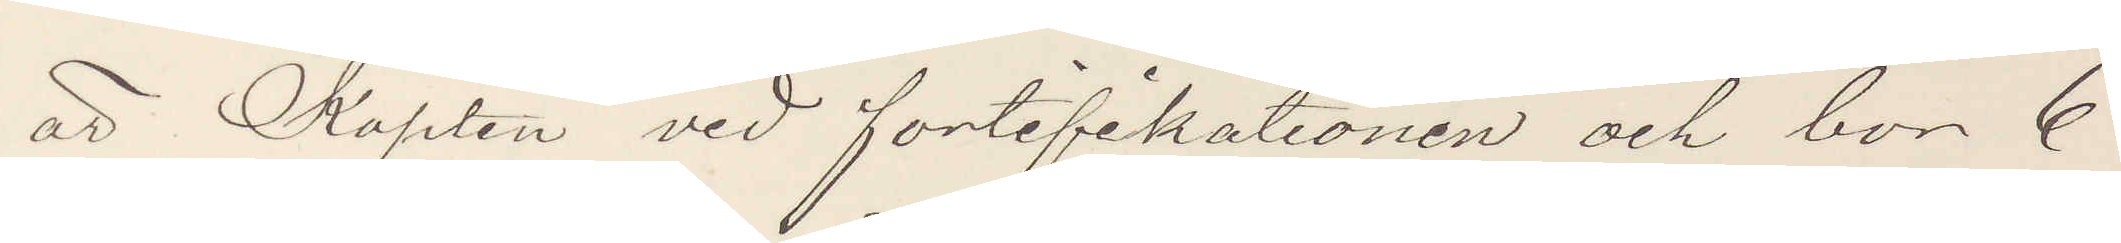är Kapten vid fortifikationen och bor 6
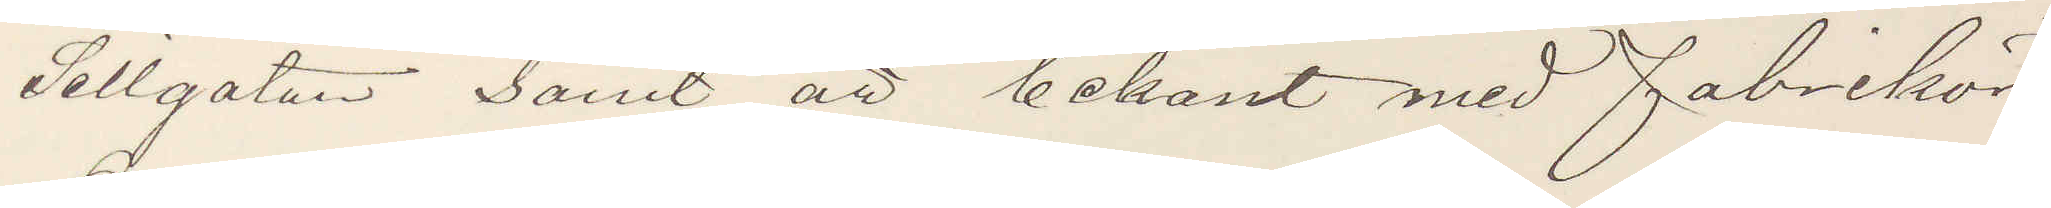Sillgatan samt är bekant med fabrikör
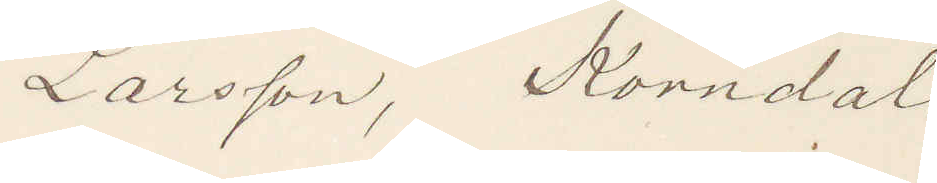Larsson, Korndal.
